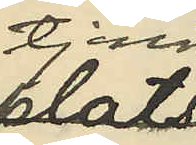tjenst
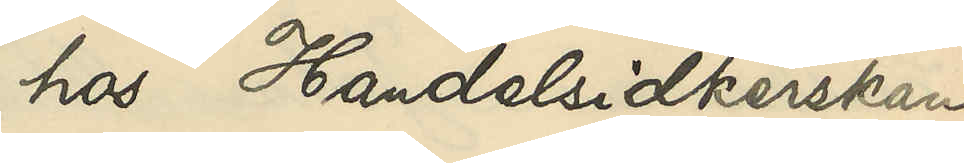hos Handelsidkerskan
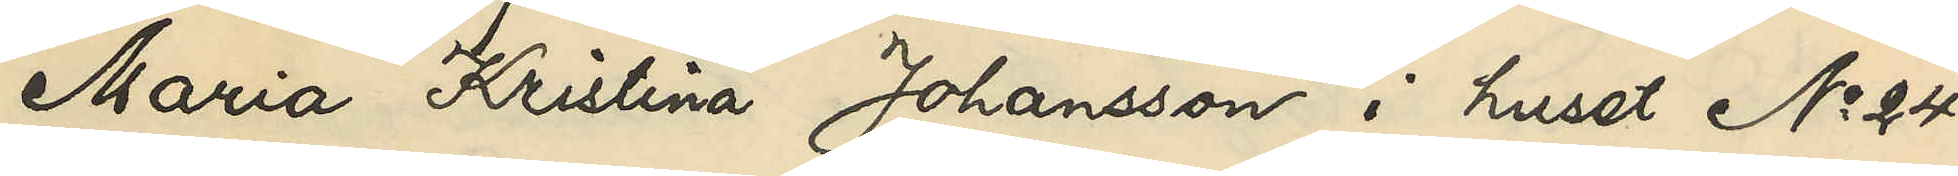Maria Kristina Johansson i huset No 24
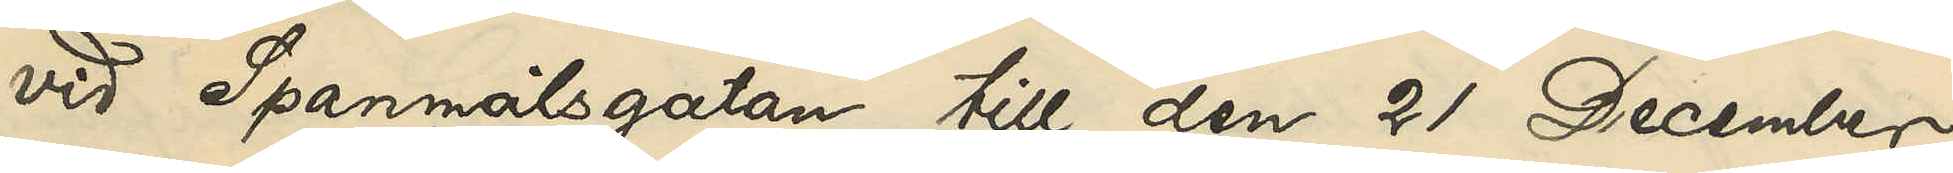vid Spannmålsgatan till den 21 December
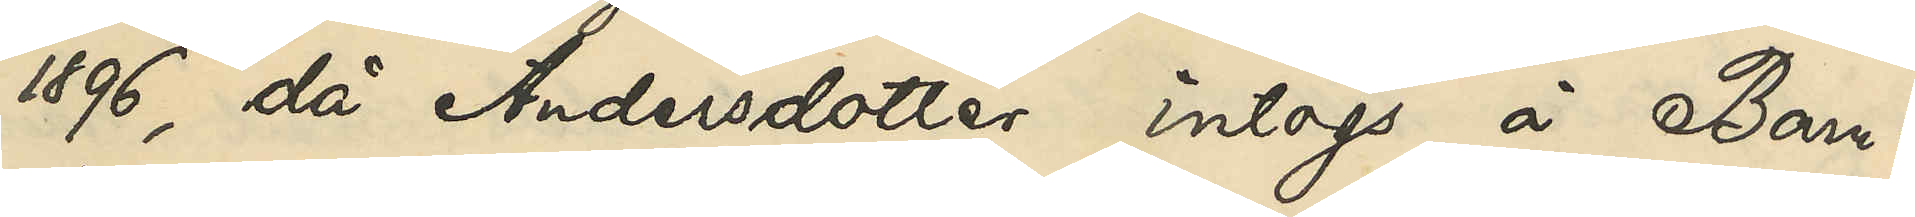1896, då Andersdotter intogs å Barn¬
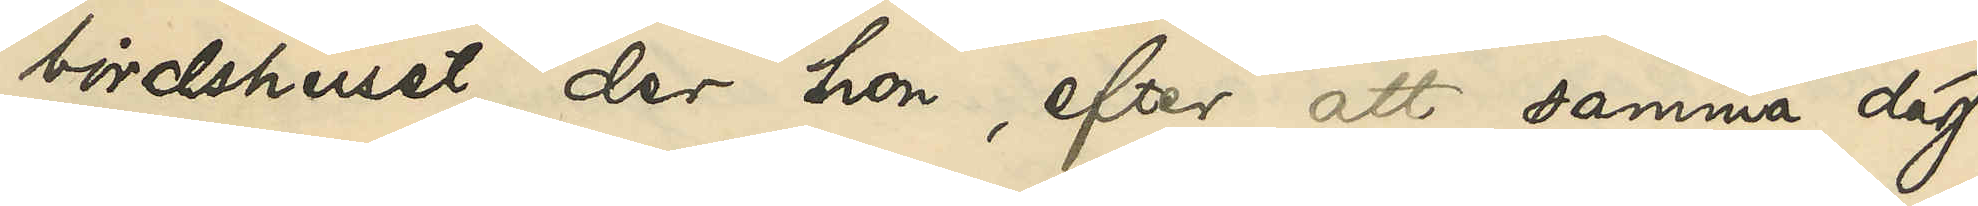bördshuset, der hon, efter att samma dag
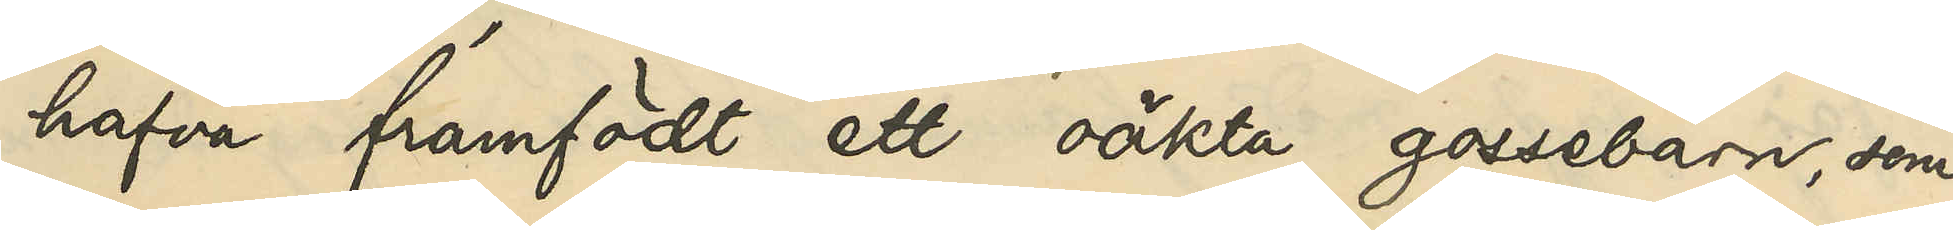hafva framfödt ett oäkta gossebarn, som
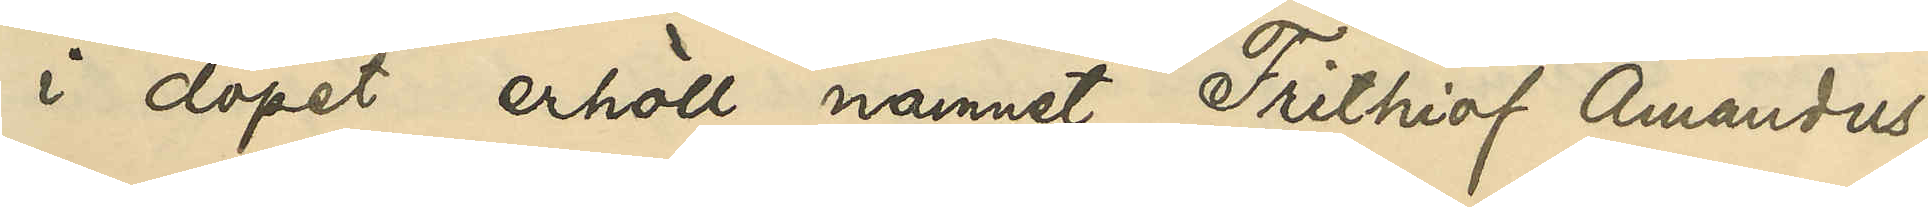i dopet erhöll namnet Frithiof Amandus,
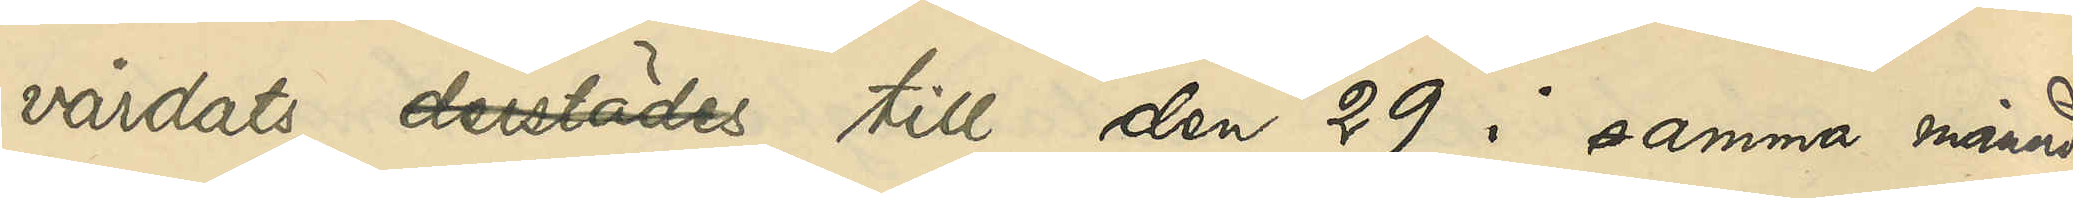vårdats derstädes till den 29 i samma månad,
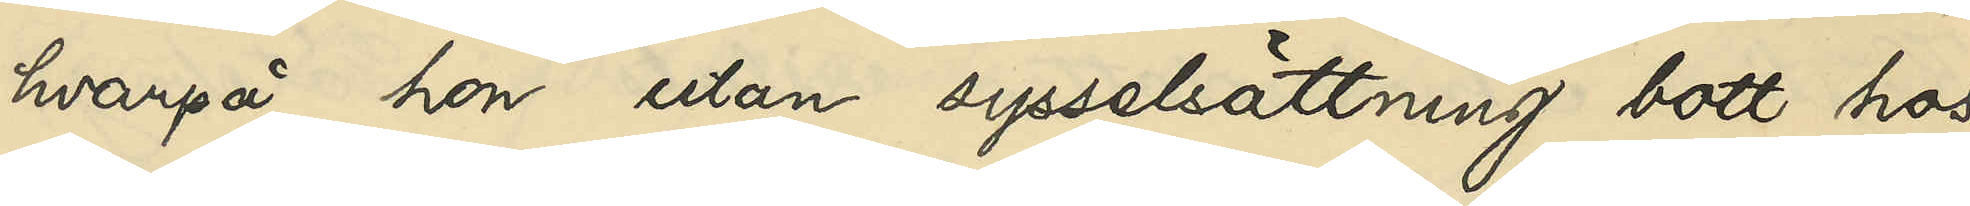hvarpå hon utan sysselsättning bott hos
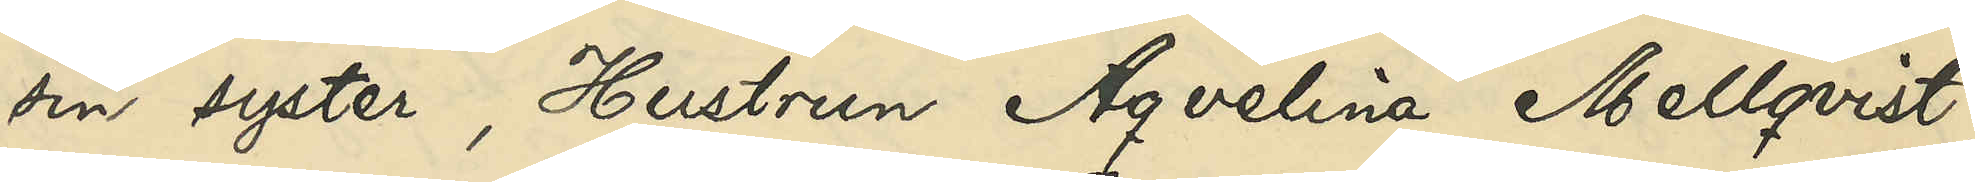sin syster, Hustrun Aqvelina Mellqvist,
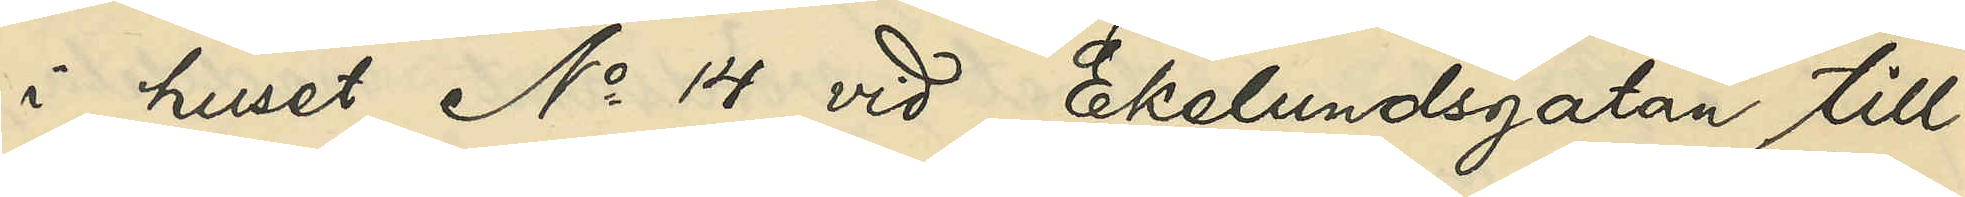i huset No 14 vid Ekelundsgatan till
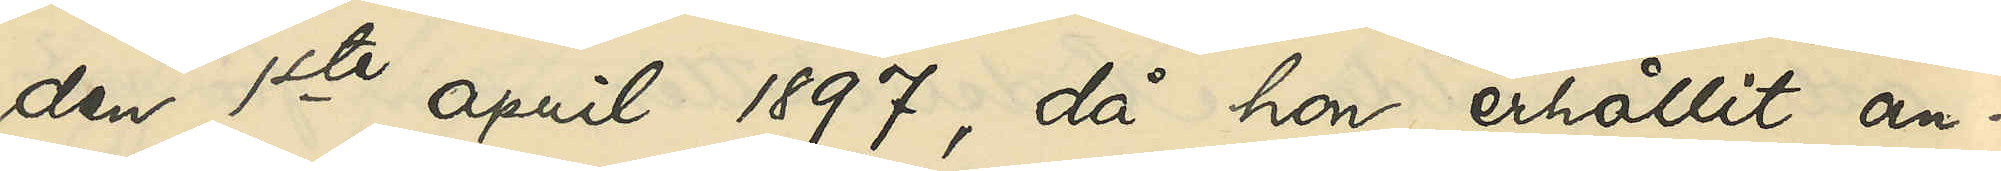den 1ste april 1897, då hon erhållit an¬
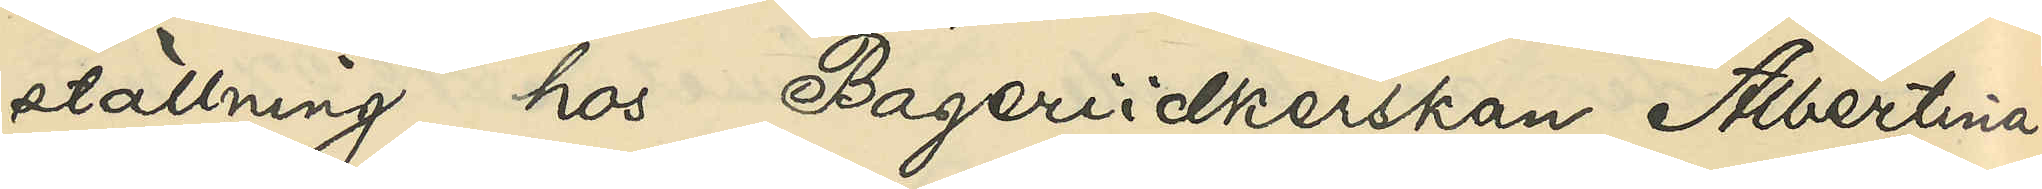ställning hos Bageriidkerskan Albertina
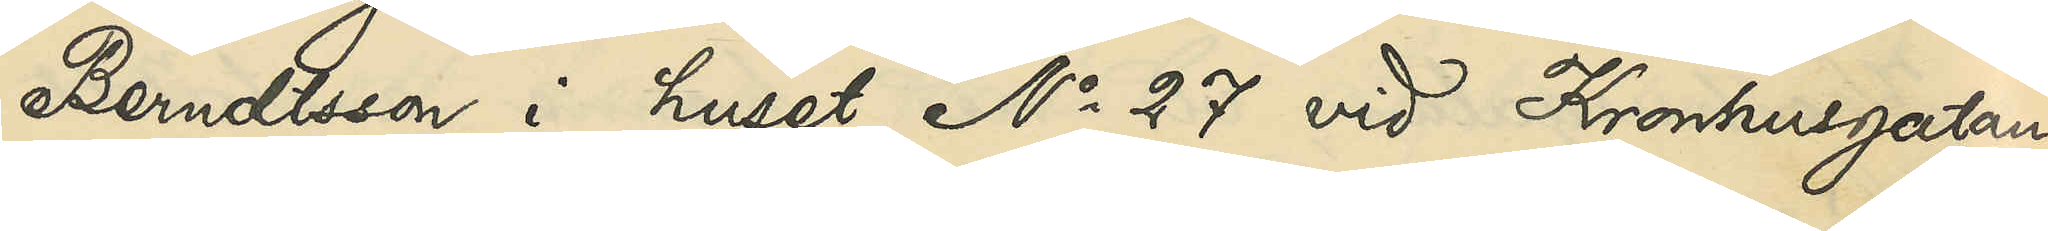Berndtsson i huset No 27 vid Kronhusgatan,
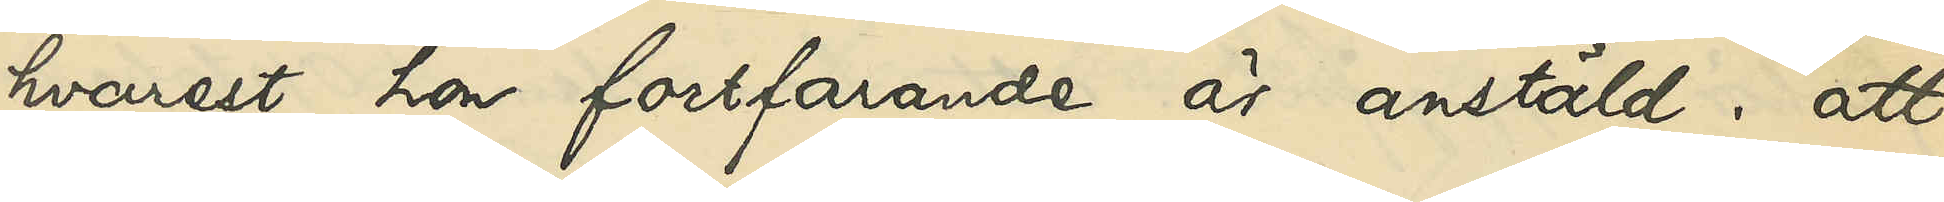hvarest hon fortfarande är anstäld; att
